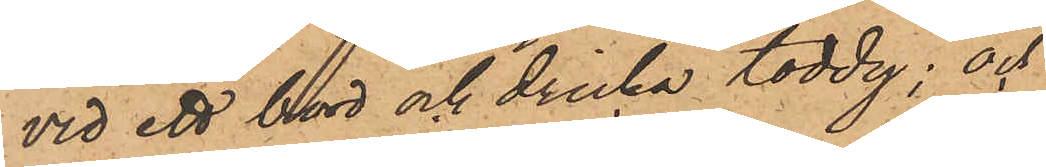vid ett bord och dricka toddy; och
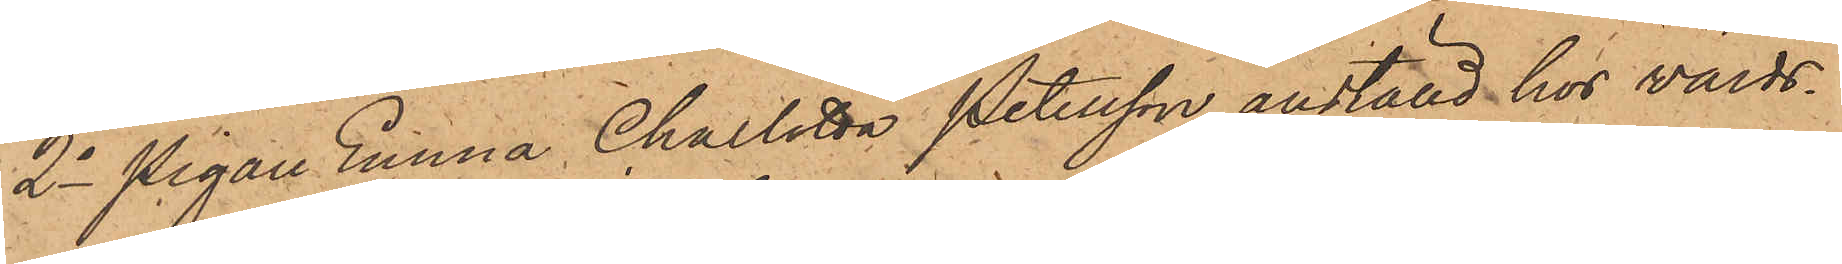2o Pigan Emma Charlotta Petersson, anställd hos värds¬
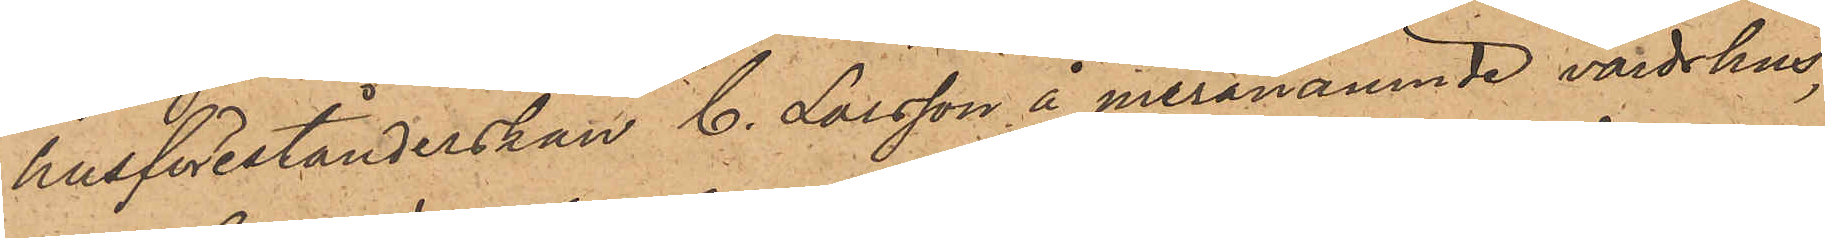husförestånderskan C. Larsson å meranämnde värdshus,
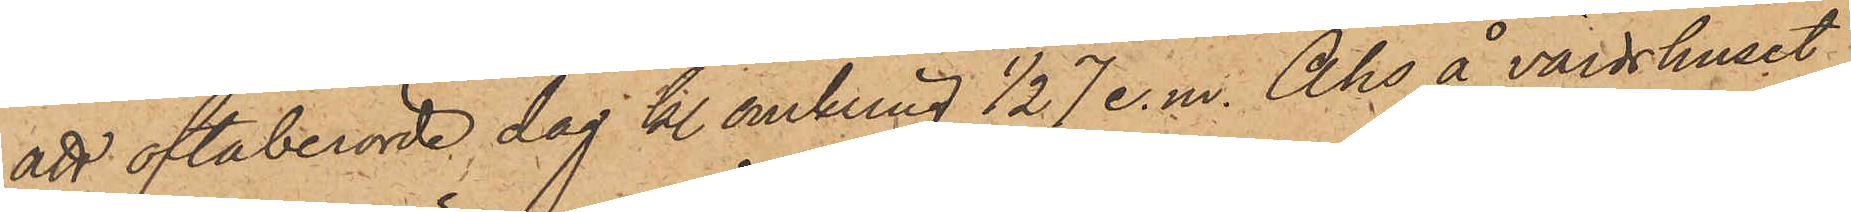att oftaberörde dag kl. omkring 1/2 7 e. m. Åhs å värdshuset
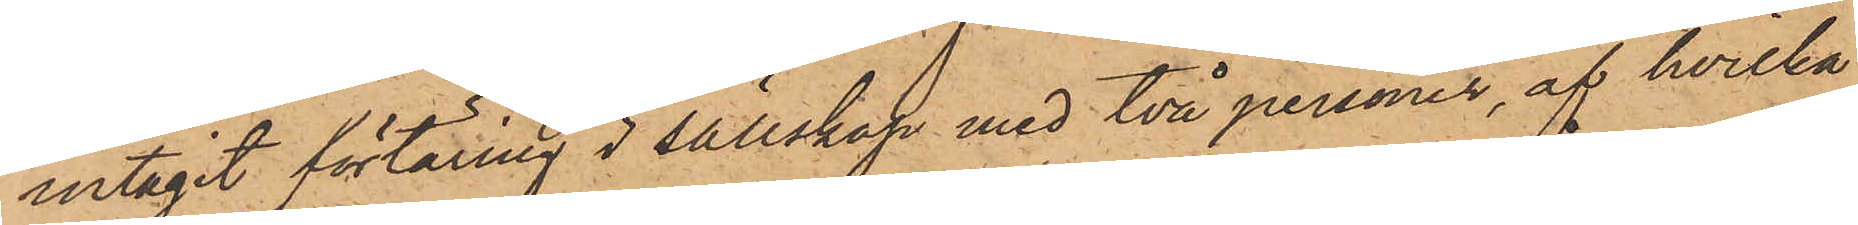intagit förtäring i sällskap med två personer, af hvilka
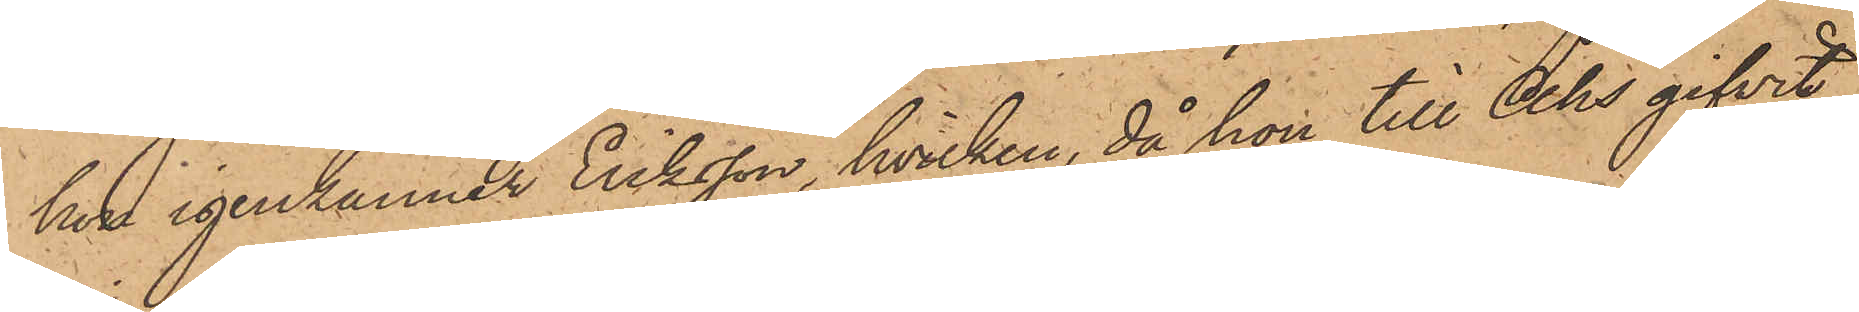han igenkänner Eriksson, hvilken, då hon till Åhs gifvit
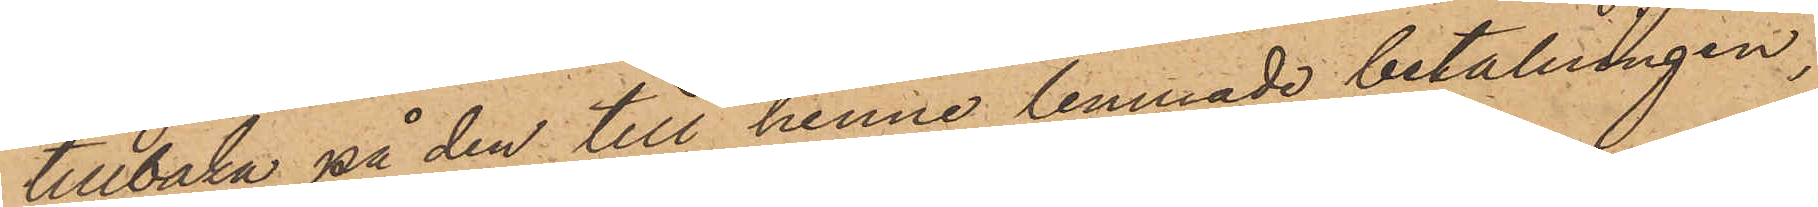tillbaka på den till henne lemnade betalningen,
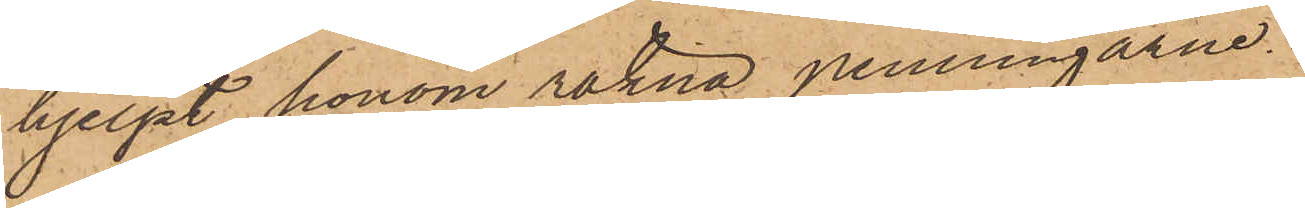hjelpt honom räkna penningarne.
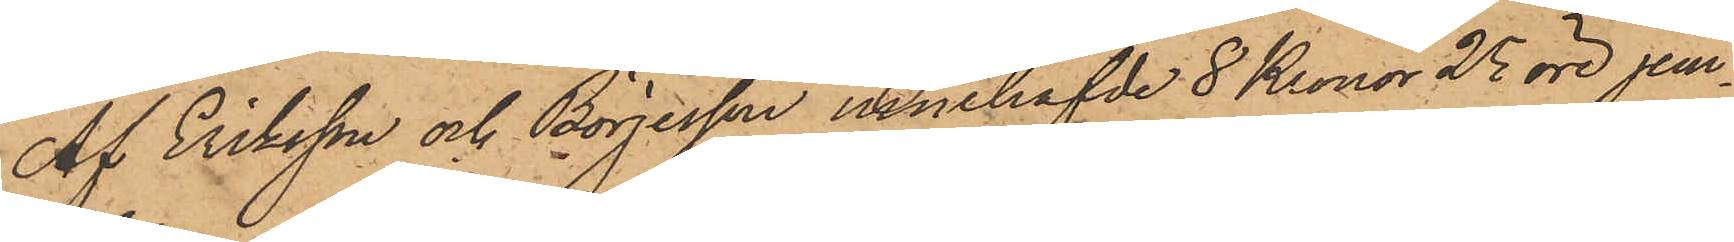Af Eriksson och Börjesson innehafvde 8 Kronor 25 öre jem¬
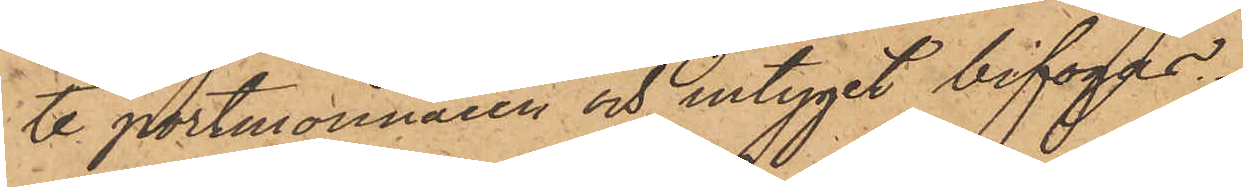te portmonnaien och intyget bifogas.
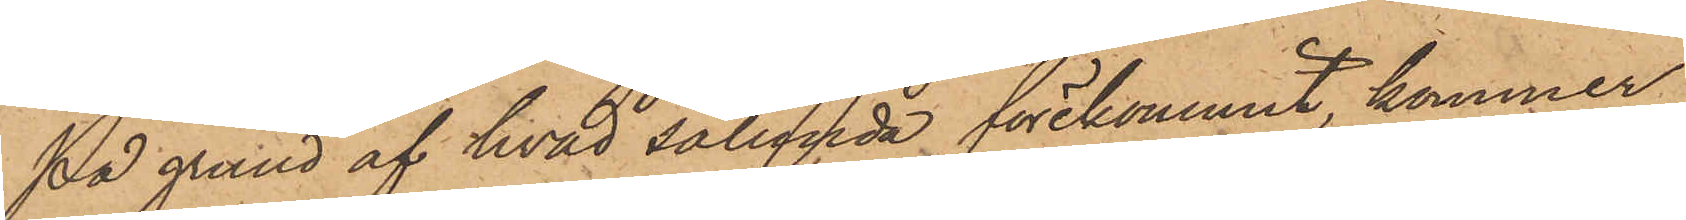På grund af hvad sålunda förekommit, kommer
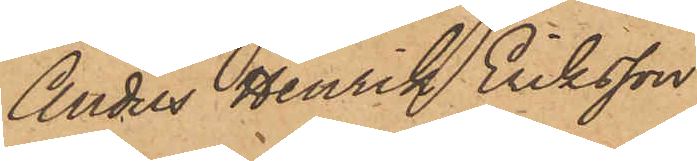Anders Henrik Eriksson
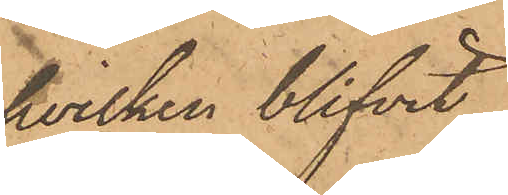hvilken blifvit
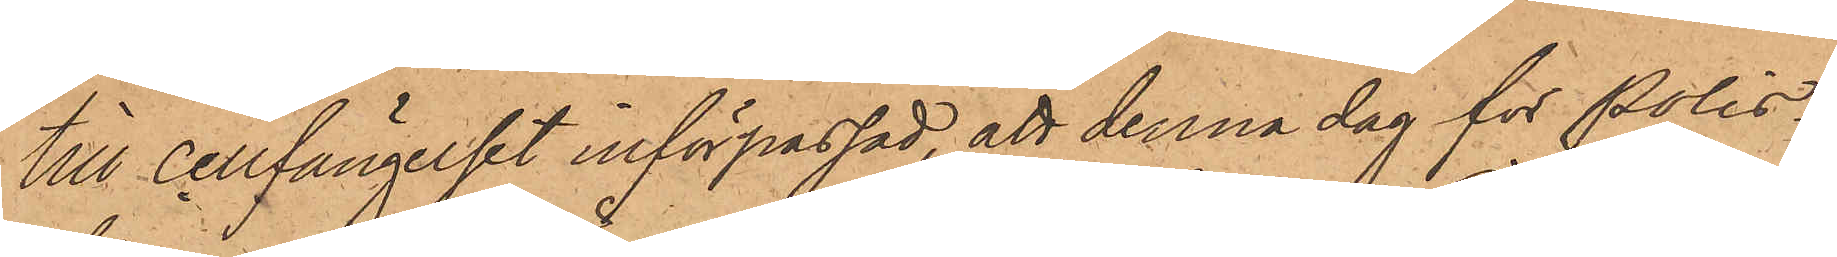till cellfängelset införpassad, att denna dag för Polis¬
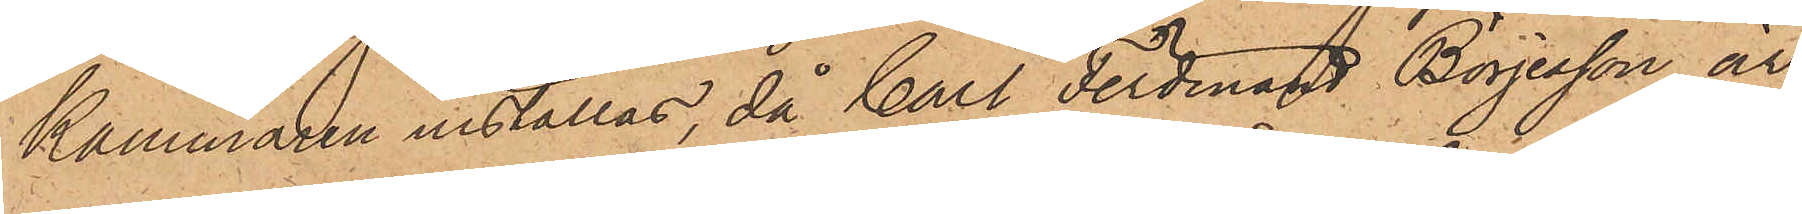kammaren inställas, då Carl Ferdinand Börjesson är
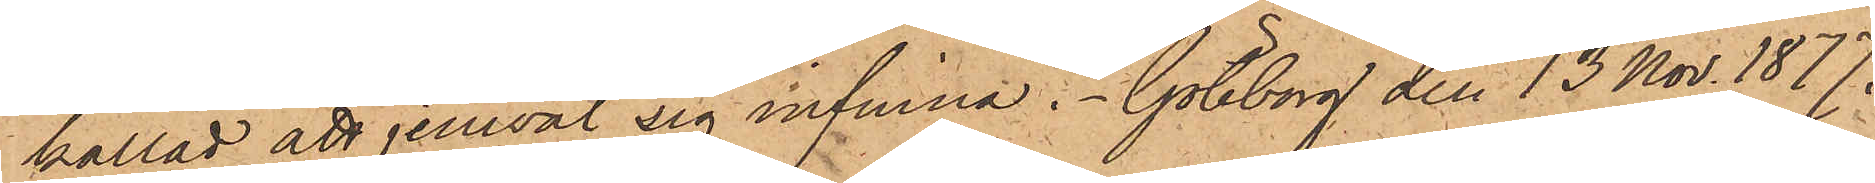kallad att jemväl sig infinna. Göteborg den 13 Nov. 1877.
